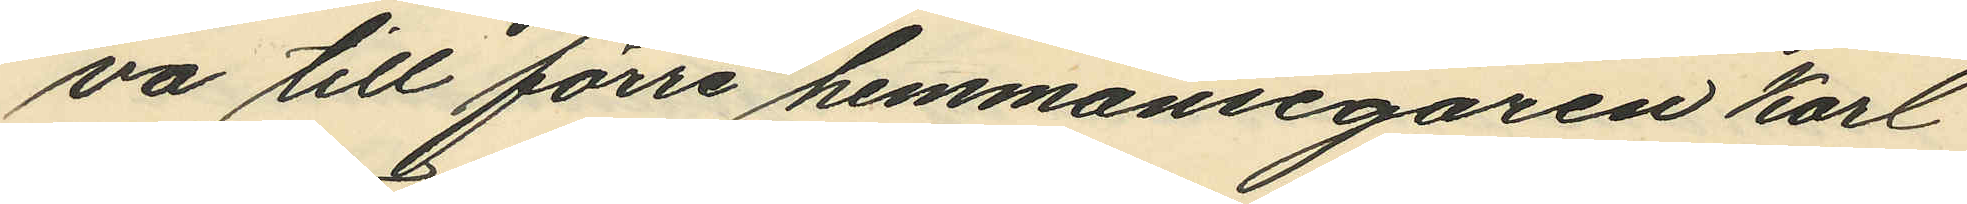va till förre hemmansegaren Karl
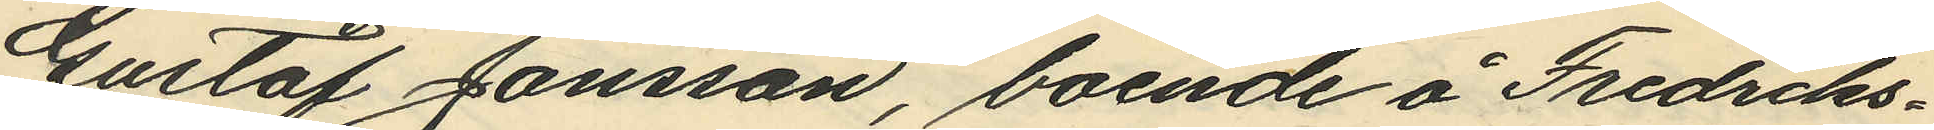Gustaf Jansson, boende å Fredriks¬
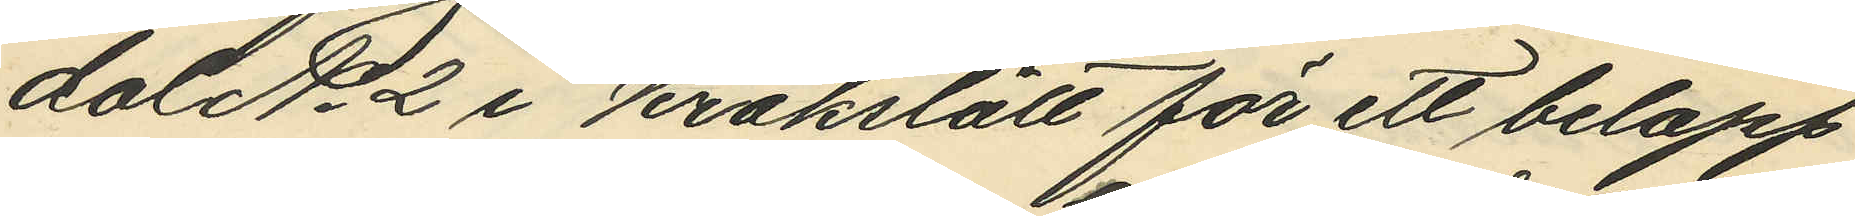dal No 2 i Krokslätt för ett belopp
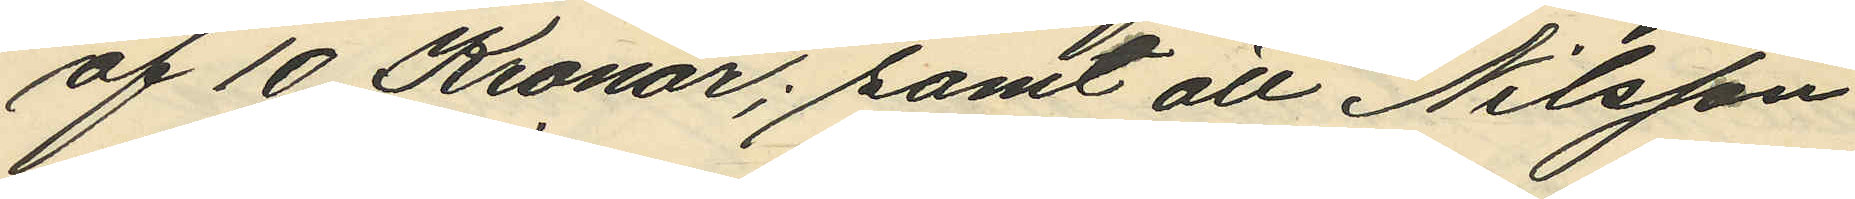af 10 Kronor; samt att Nilsson
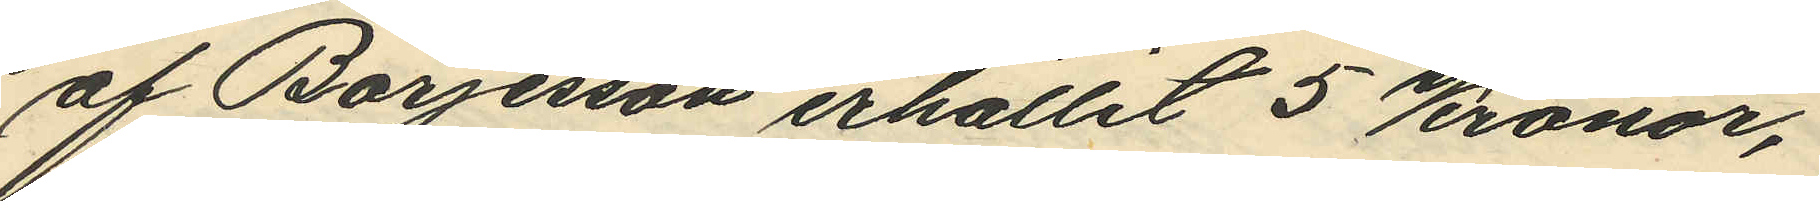af Börjesson erhållit 5 Kronor,
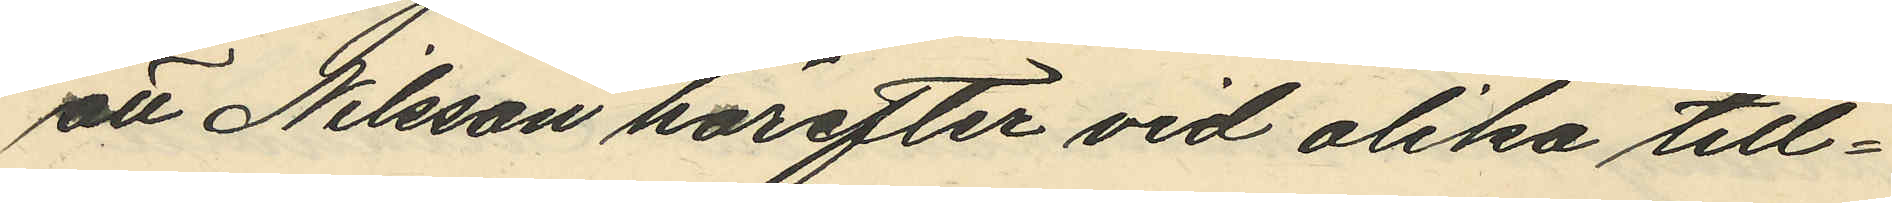att Nilsson härefter vid olika till¬
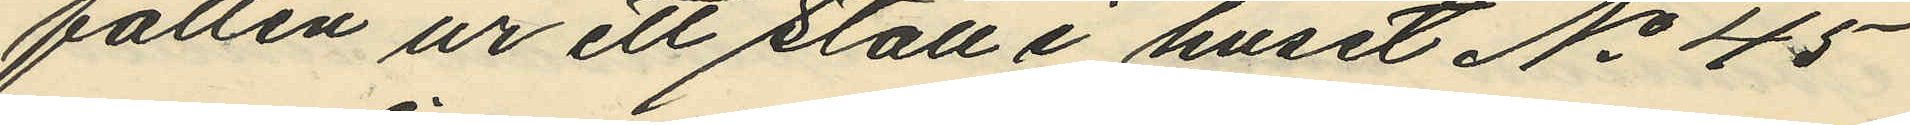fällen ur ett stall i huset No 45
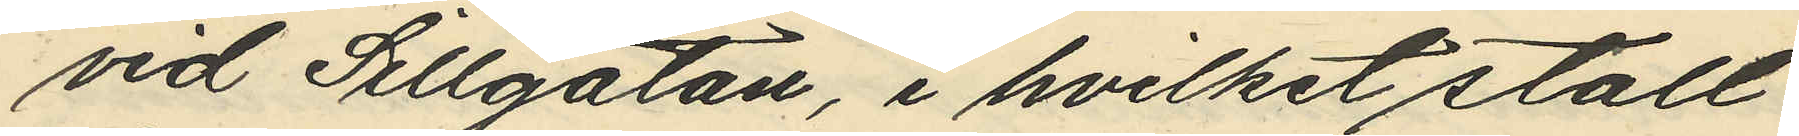vid Sillgatan, i hvilket stall
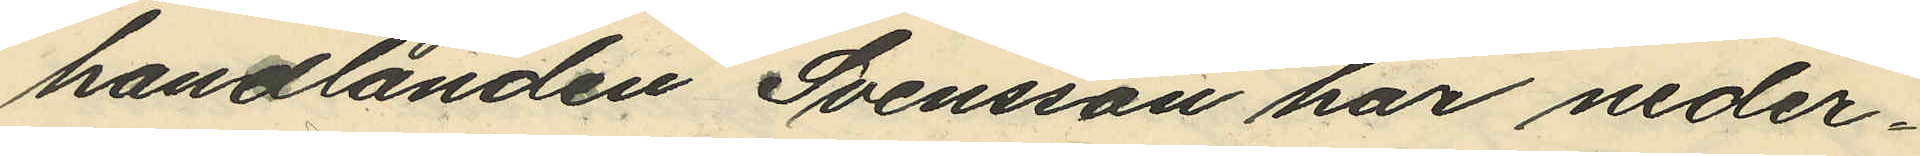handlanden Svensson har neder¬
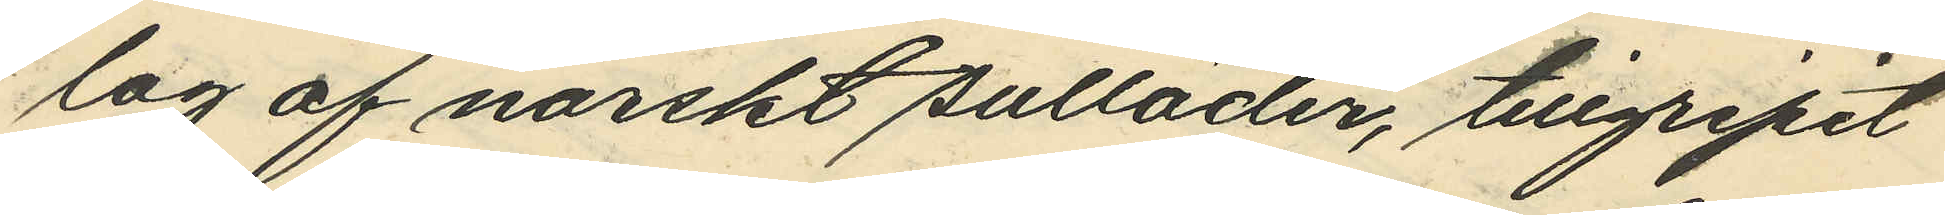lag af norskt sulläder, tillgripit
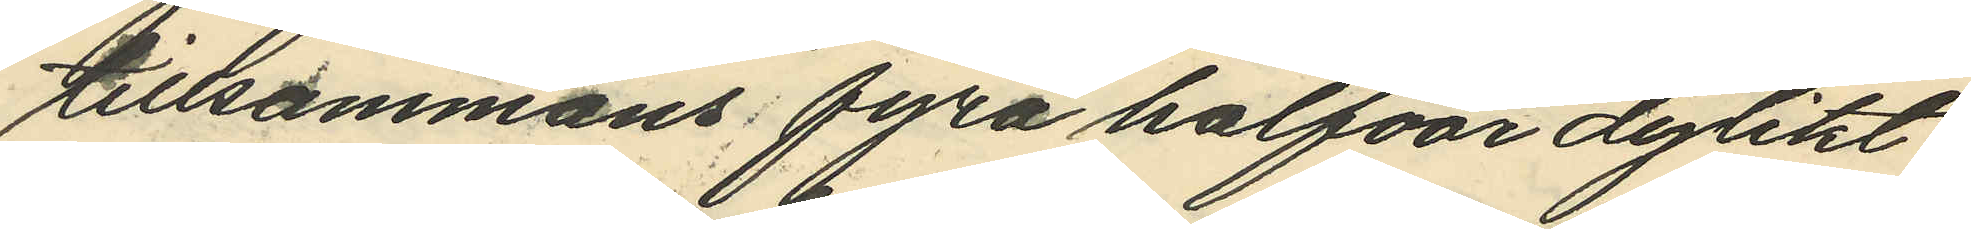tillsammans fyra halfvor dylikt
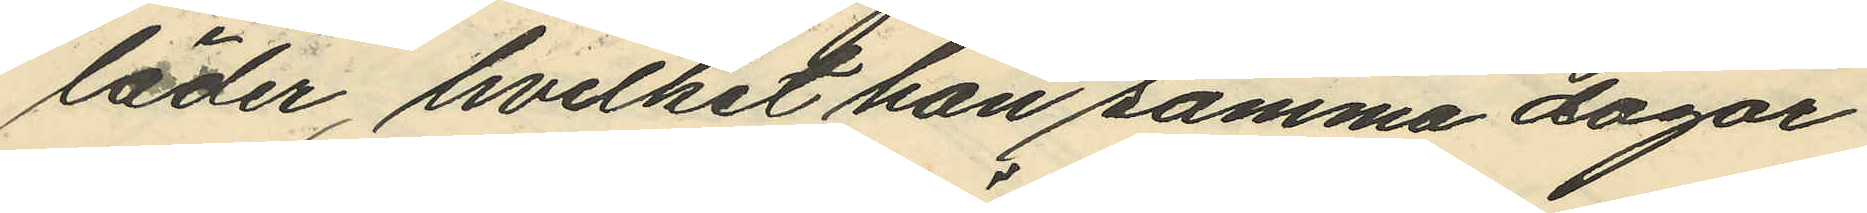läder, hvilket han samma dagar
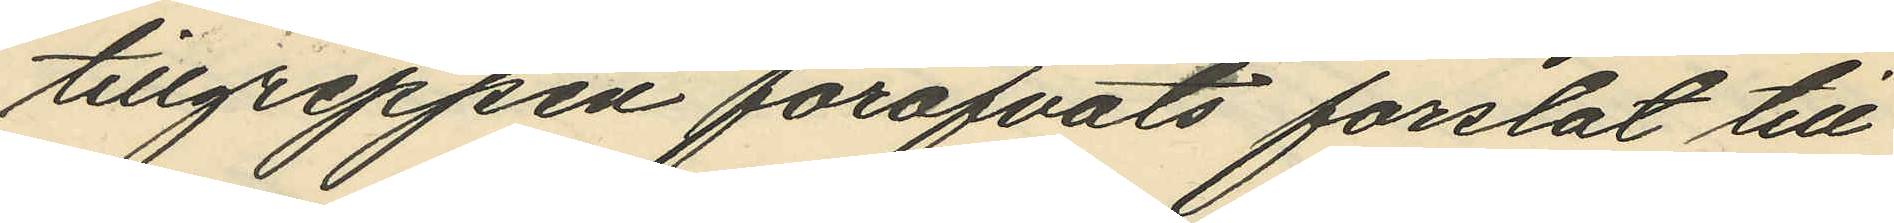tillgreppen föröfvats forslat till
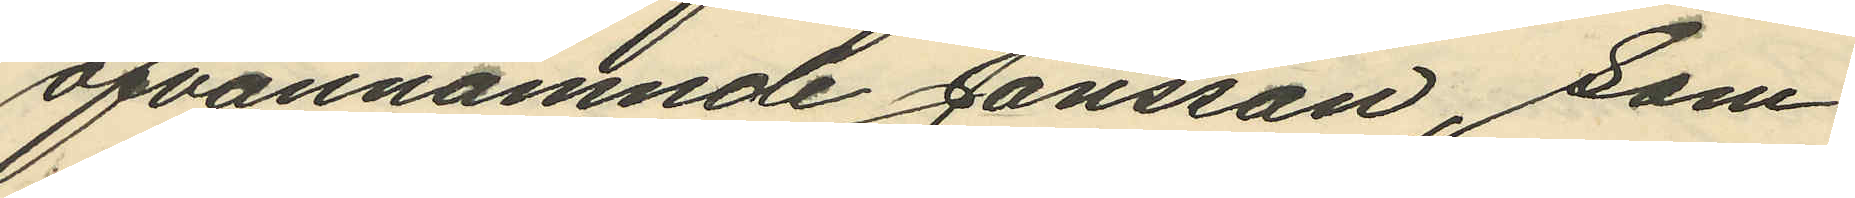ofvannämnde Jansson, som
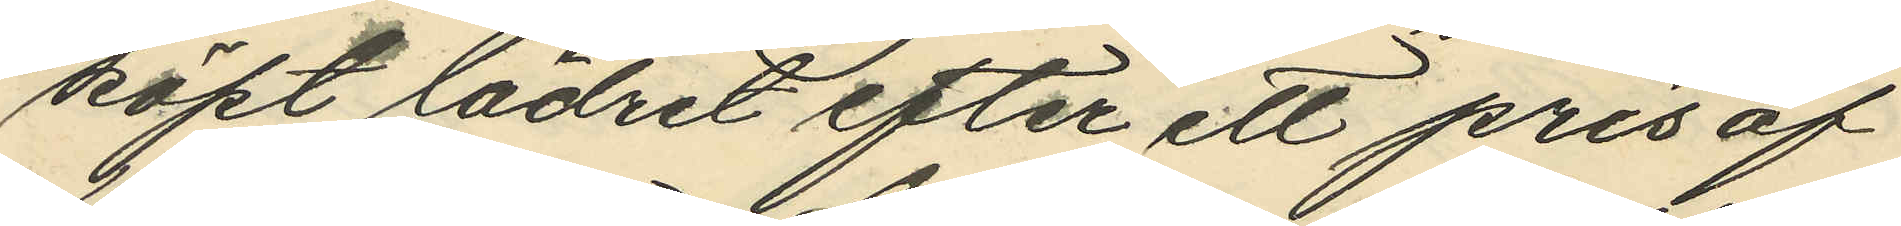köpt lädret efter ett pris af
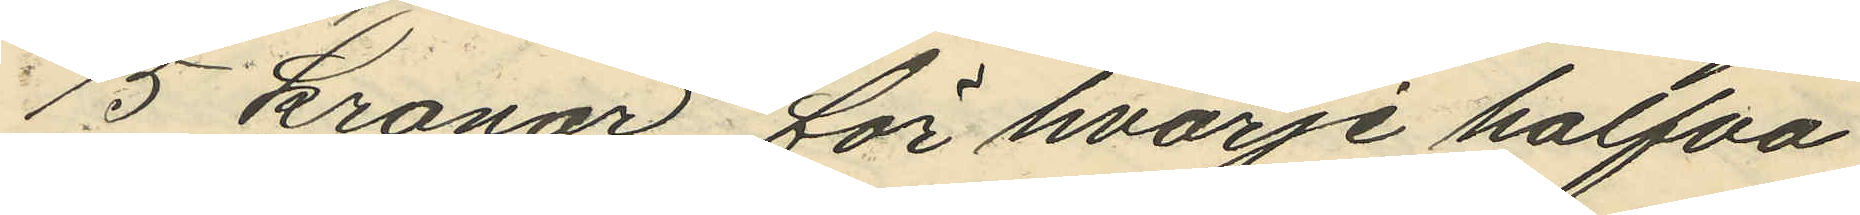15 kronor för hvarje halfva
